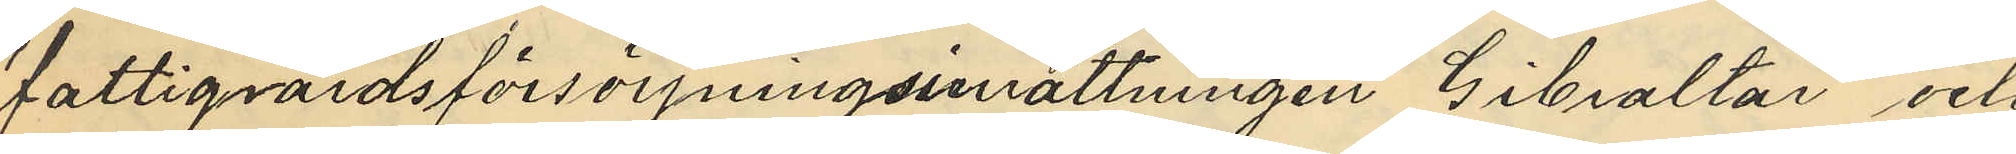fattigvårdsförsörjningsinsrättningen Gibraltar och
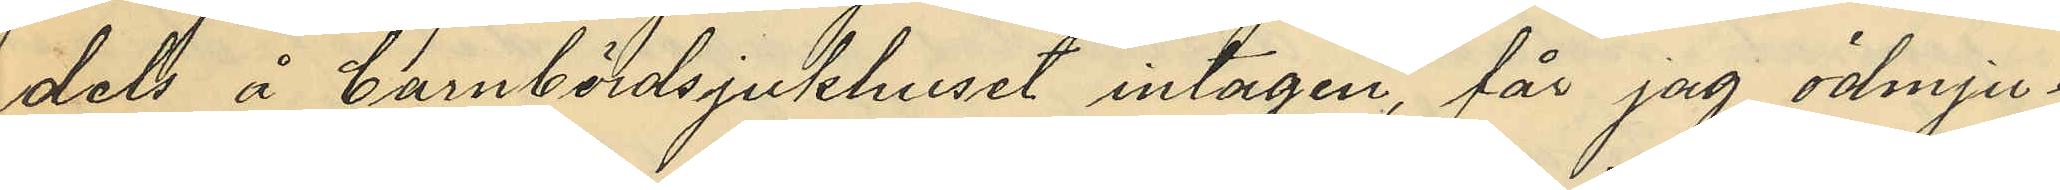dels å barnbördssjukhuset intagen, får jag ödmju¬
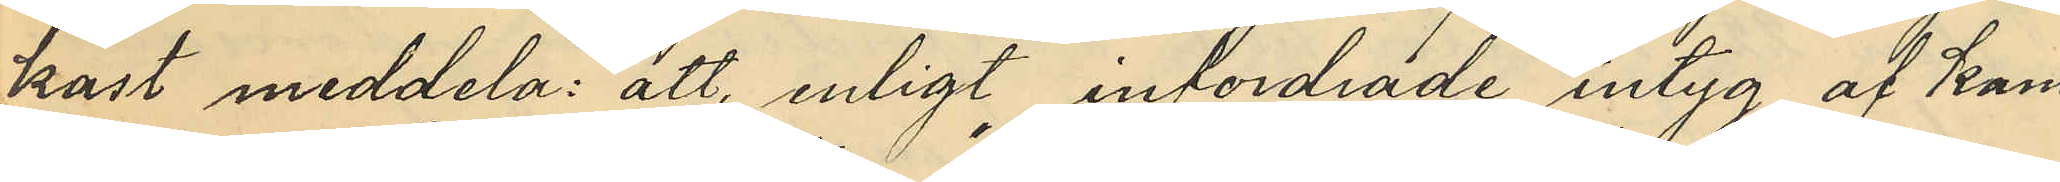kast meddela: att enligt infordrade intyg af kam¬
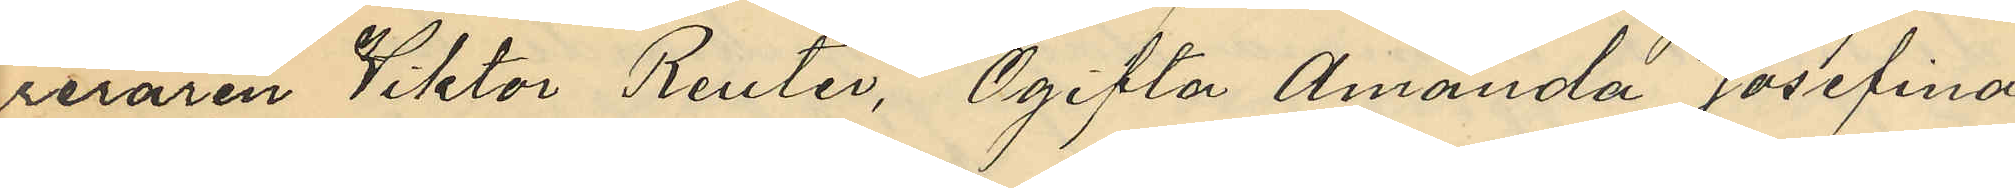reraren Viktor Reuter, "Ogifta Amanda Josefina
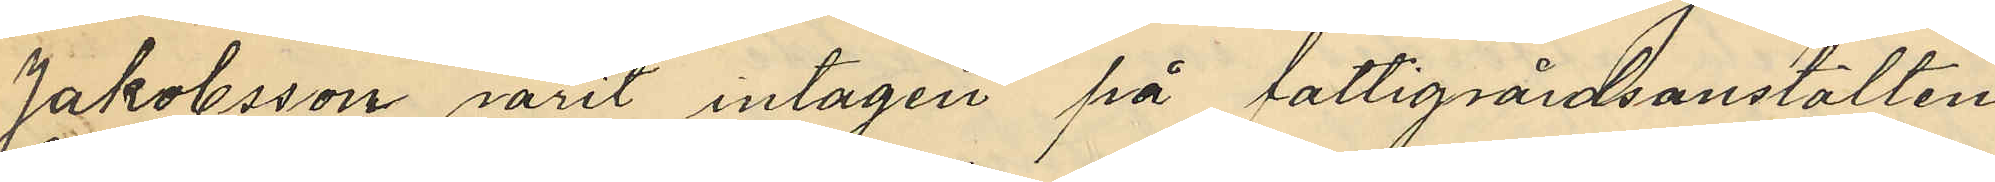Jakobsson varit intagen på fattigvårdsanstalten
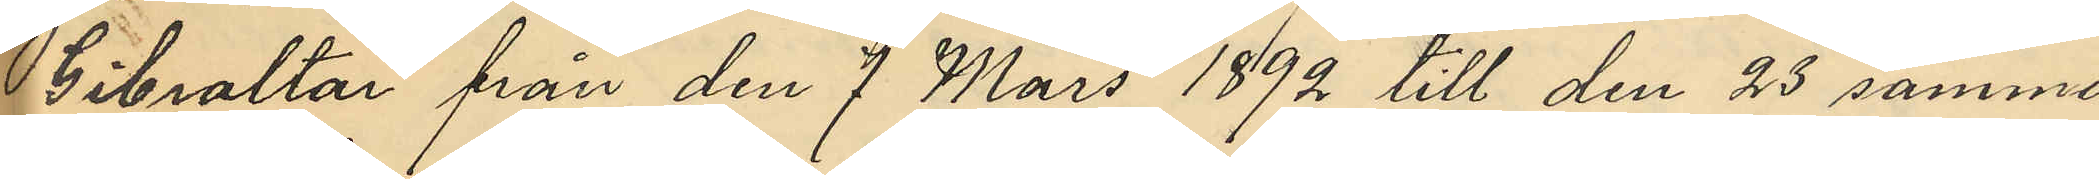Gibraltar från den 7 Mars 1892 till den 23 samma
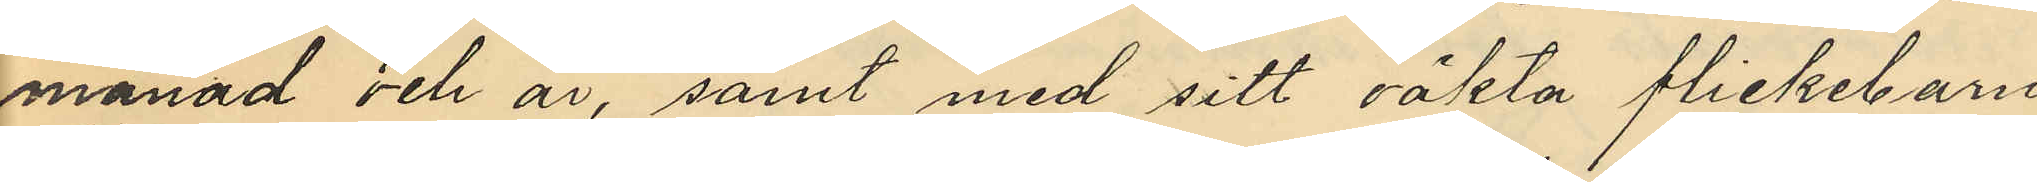månad och år, samt med sitt oäkta flickebarn
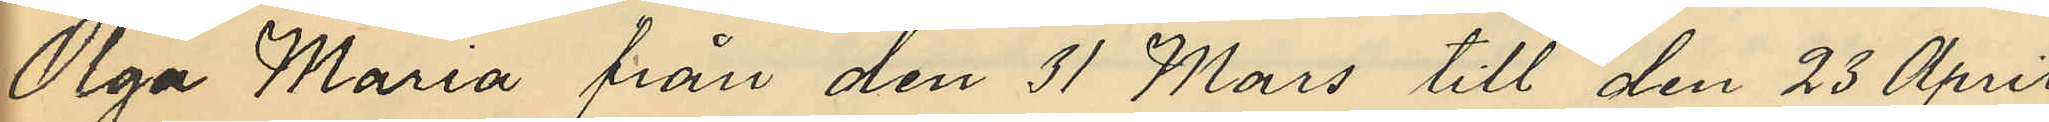Olga Maria från den 31 Mars till den 23 April
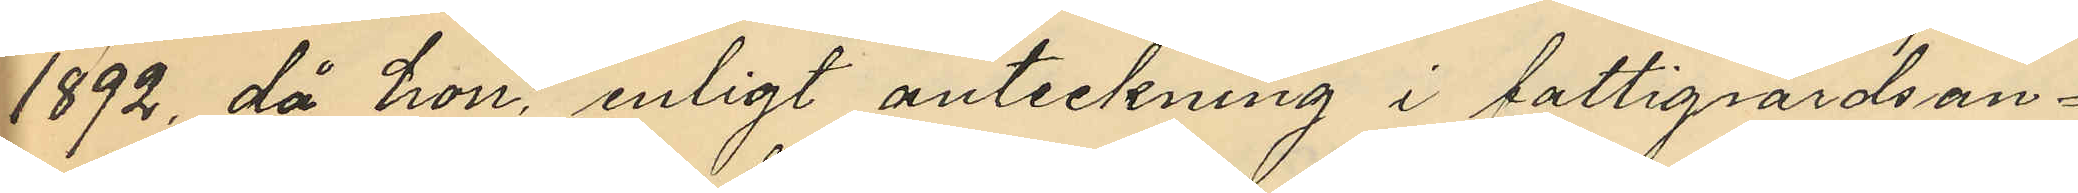1892, då hon enligt anteckning i fattigvårdsan¬
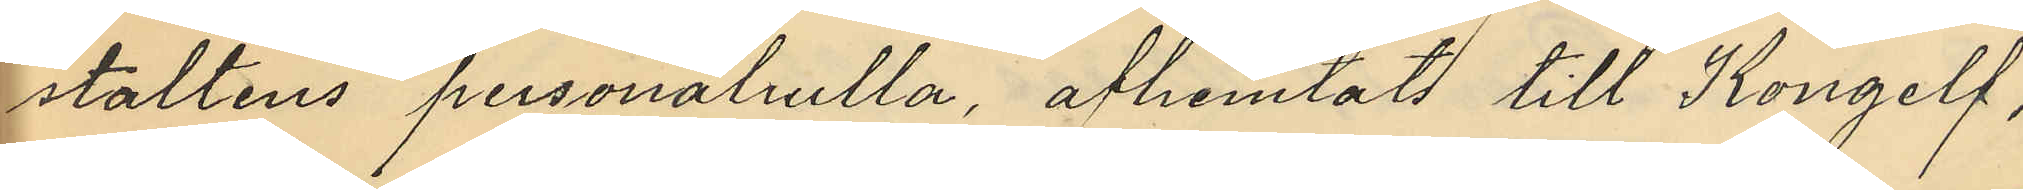staltens personalrulla afhemtats till Kongelf";
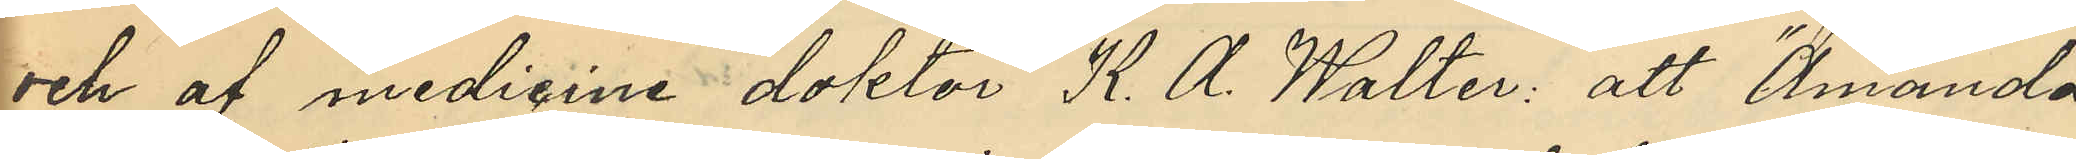och af medicine doktor K. A. Walter: att "Amanda
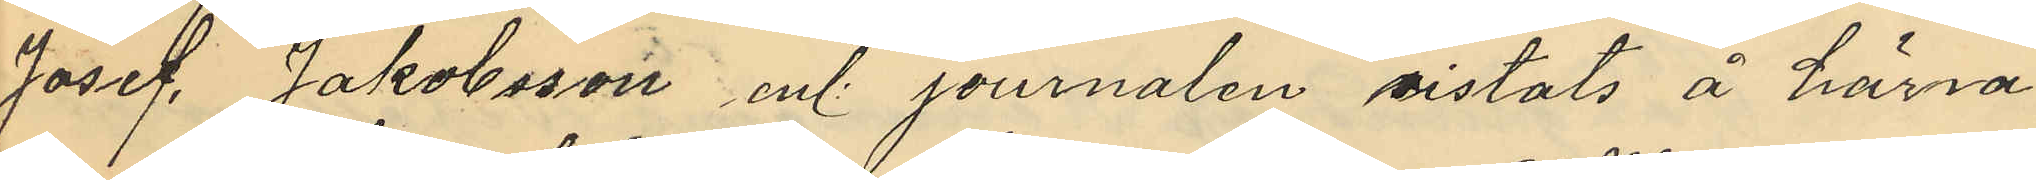Josef. Jakobsson enl. journalen vistats å härva¬
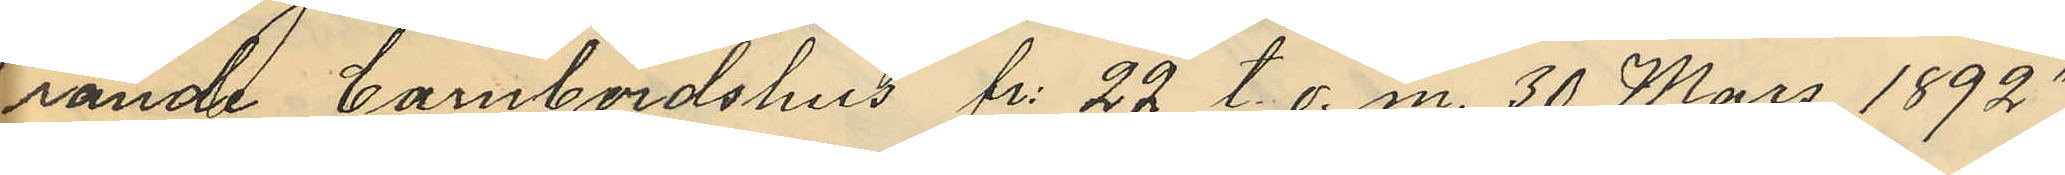rande barnbördshus fr. 22 t. o. m. 30 Mars 1892"
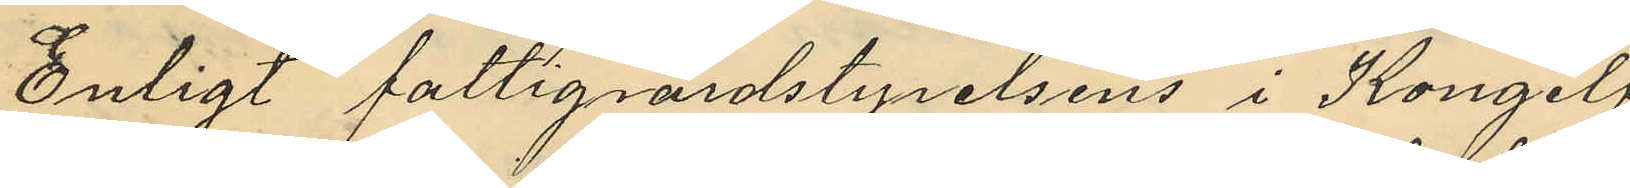Enligt fattigvårdsstyrelsens i Kongelf
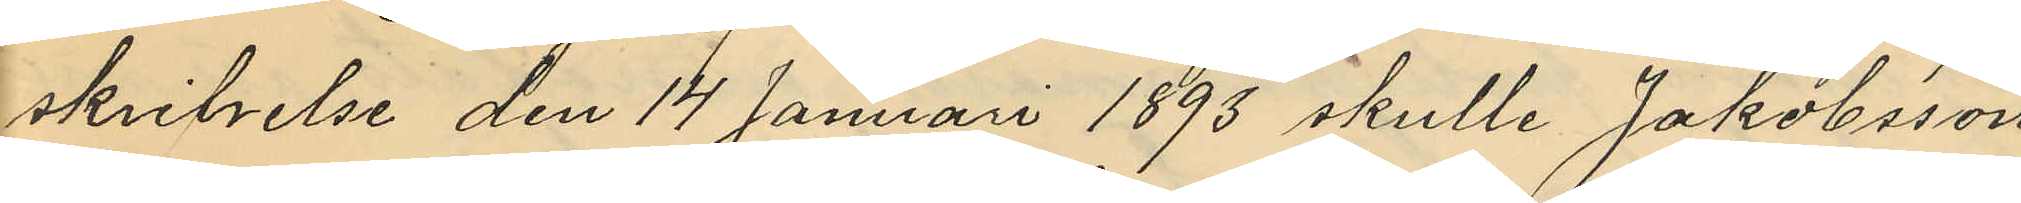skrivelse den 14 Januari 1893 skulle Jakobsson
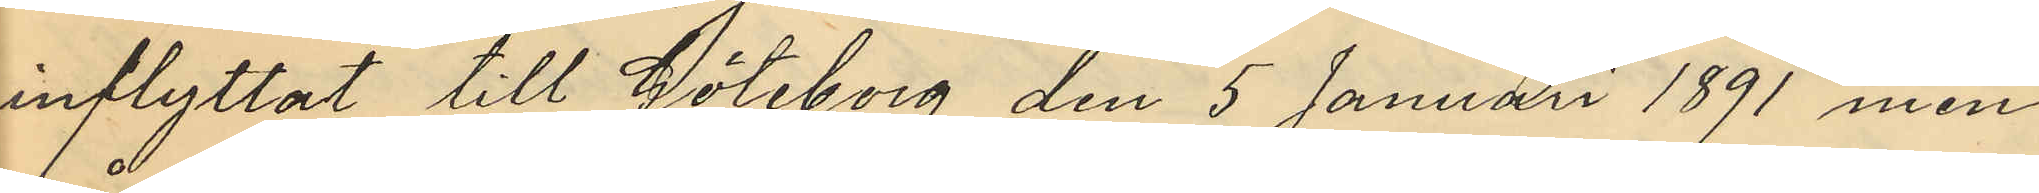inflyttat till Göteborg den 5 Januari 1891 men
